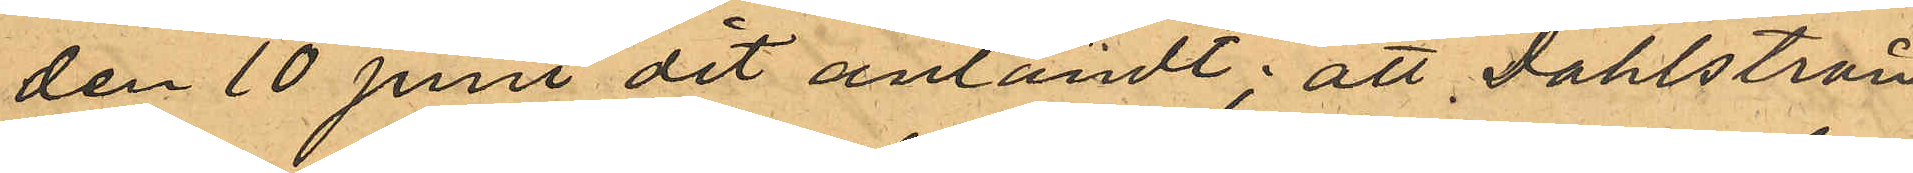den 10 Juni dit anländt; att Dahlström
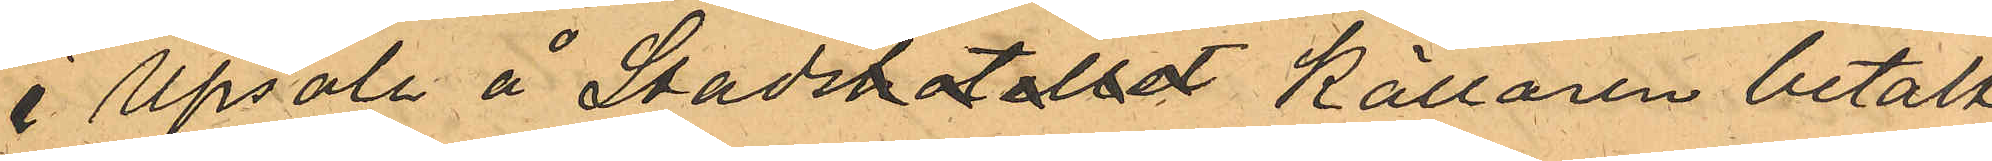å Upsale å Stadshotelletkällaren betalt
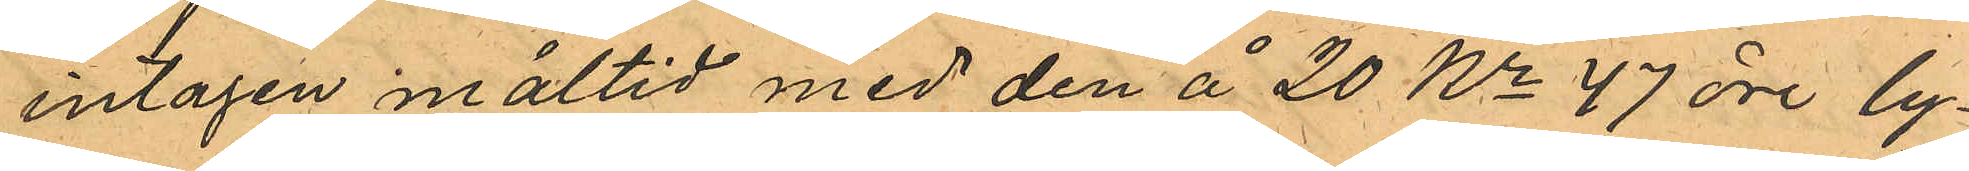intagen måltid med den å 20 Kr 47 öre ly¬
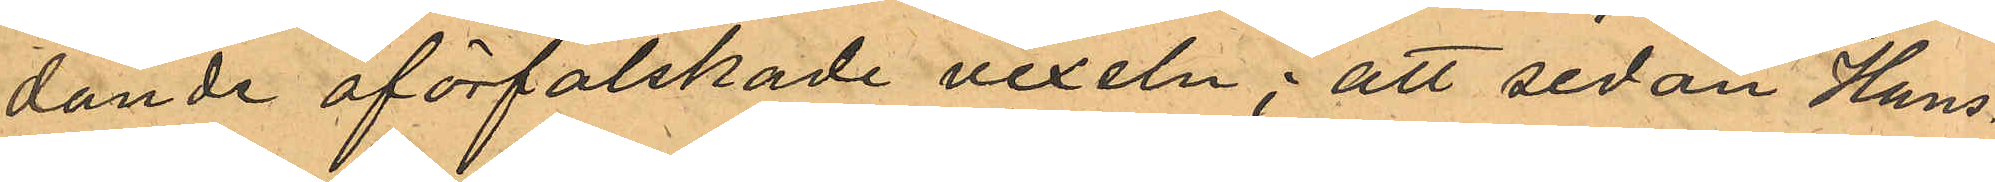dande oförfalskade vexeln; att sedan Hans¬
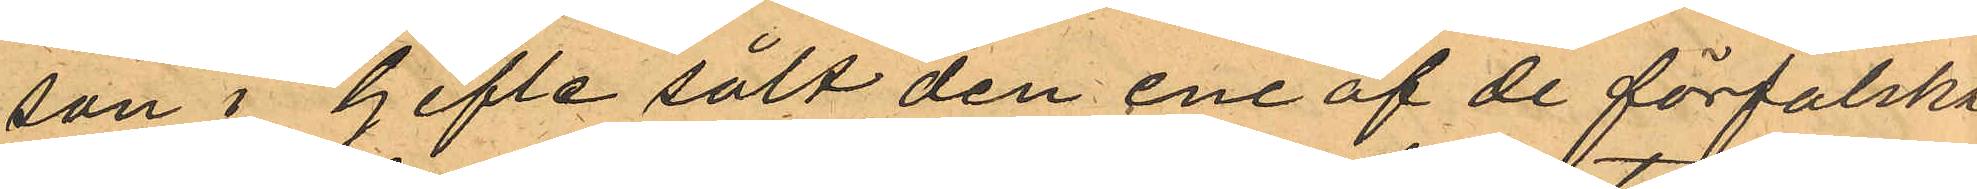son i Gefle sålt den ene af de förfalska
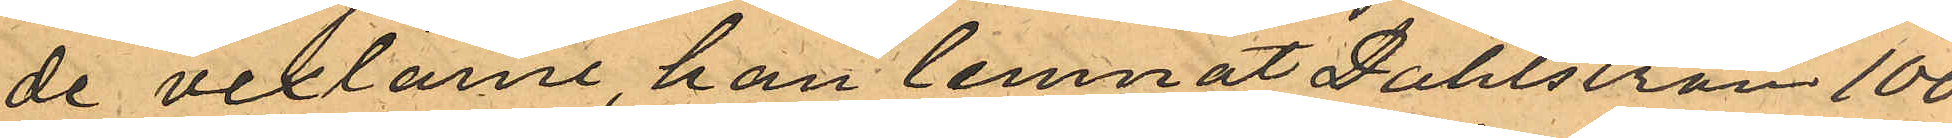de vexlarne, han lemnat Dahlström 100.
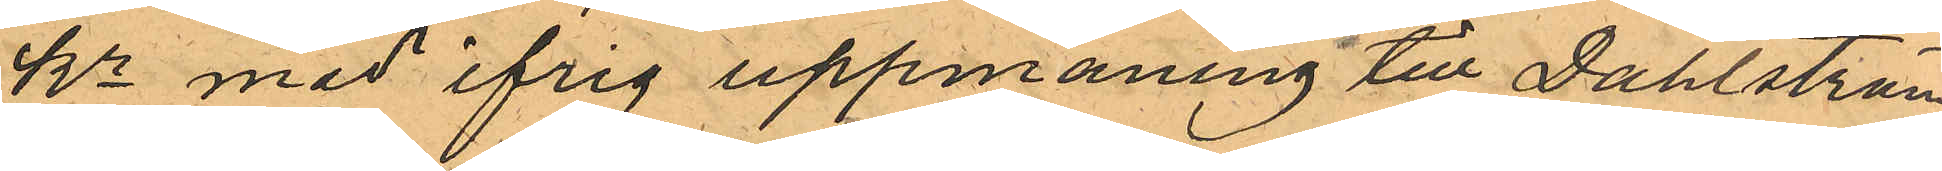kr med ifrig uppmaning till Dahlström
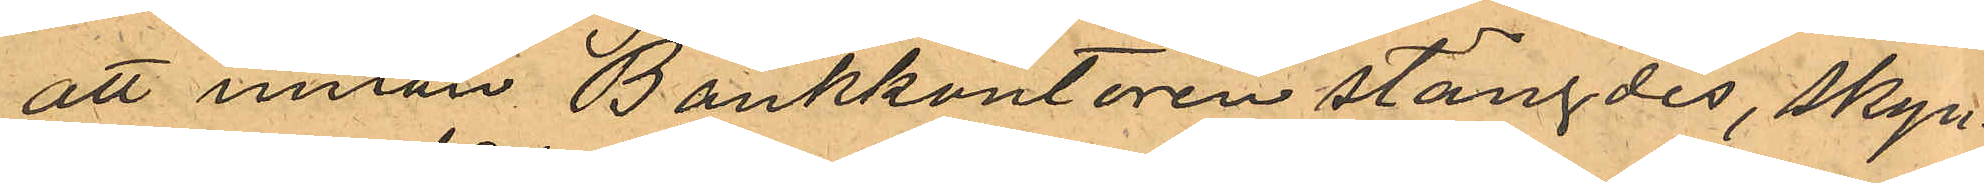att innan Bankkontoren stängdes, skyn¬
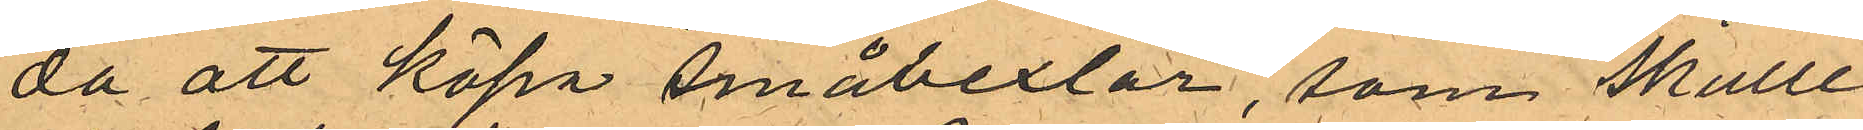da att köpa "Småvexlar", som skulle
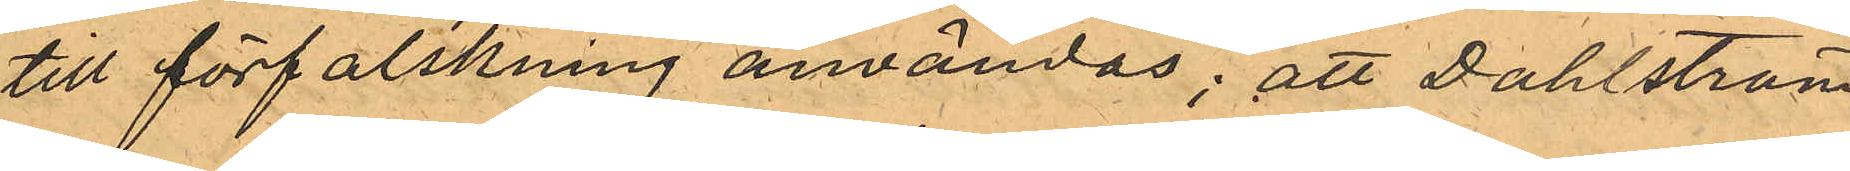till förfalskning användas; att Dahlström
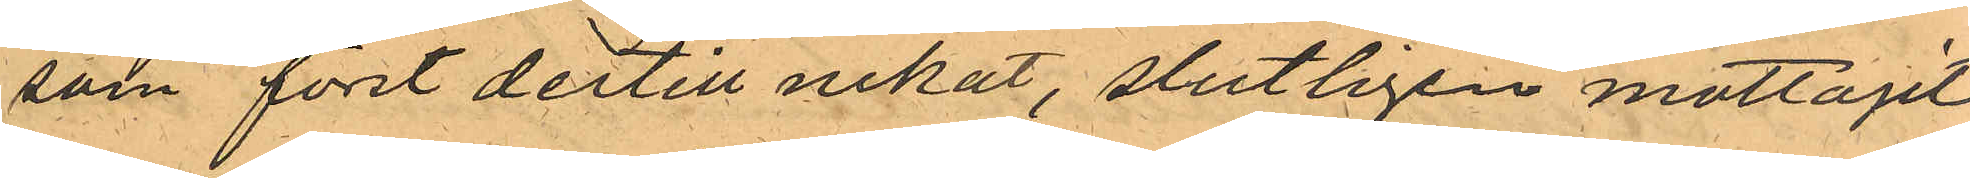som först dertill nekat, slutligen mottagit
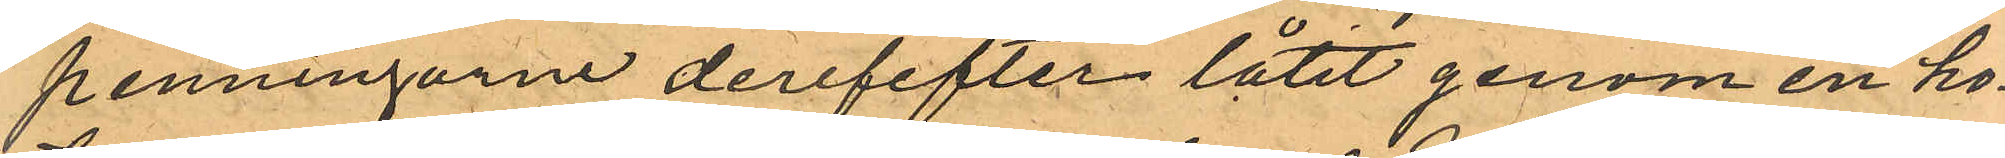penningarne derefefter låtit genom en ho¬
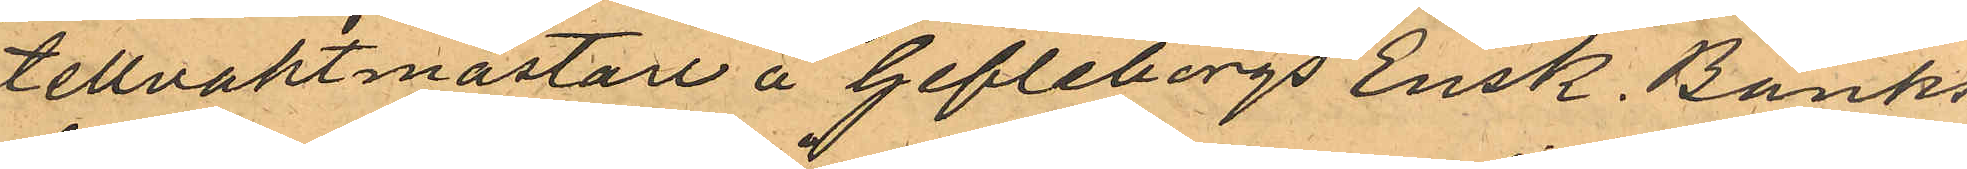tellvaktmästare å Gefleborgs Ensk. Banks
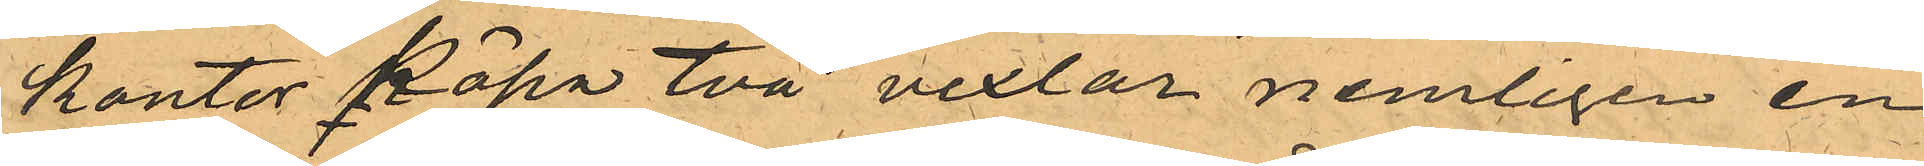kontor köpa två vexlar nemligen en
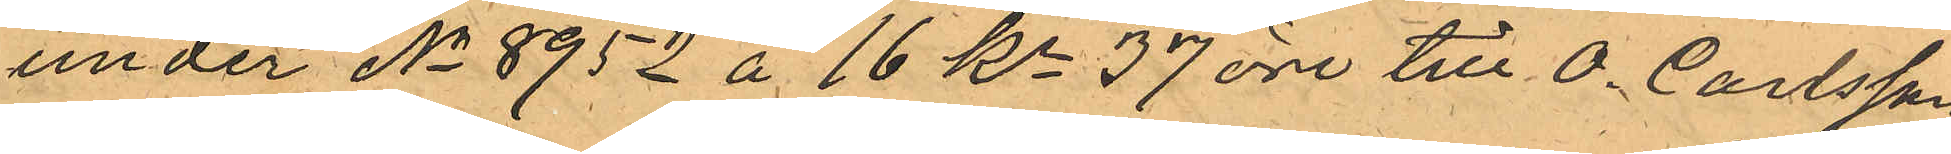under No 8952 å 16 Kr 37 öre till O. Carlsson
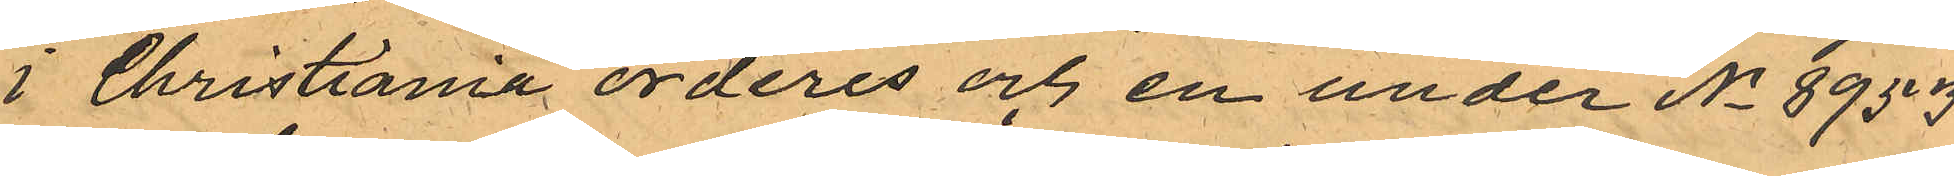i Christiania orderes och en under No 8953
